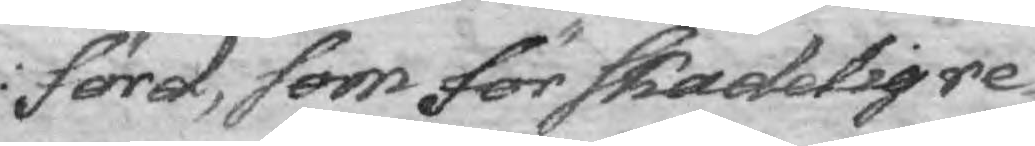förd, som för skadelig re¬
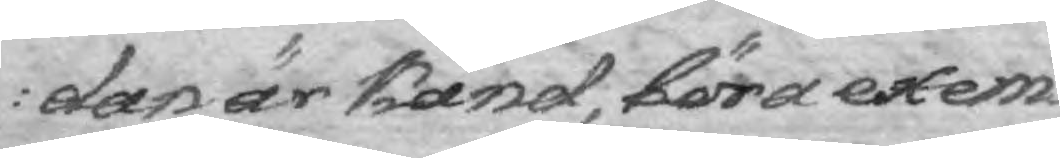dan är känd, böra exem¬
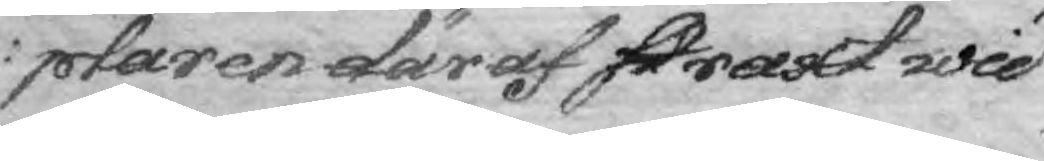plaren däraf straxt wid
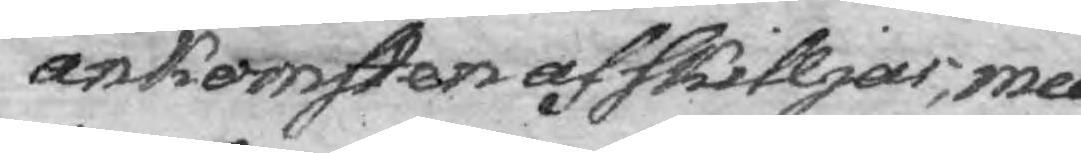ankomsten afskilljas, med
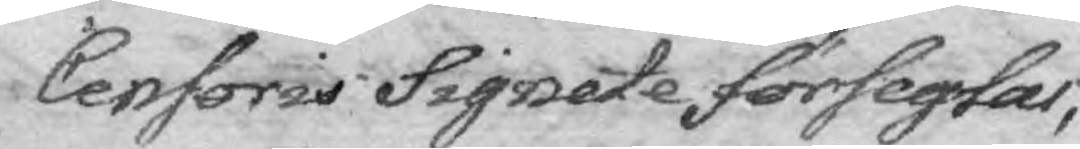Censoris Signete förseglas,
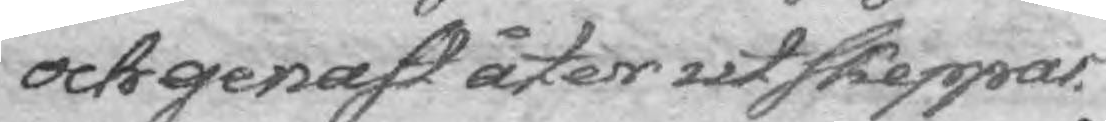och genast åter utskeppas.
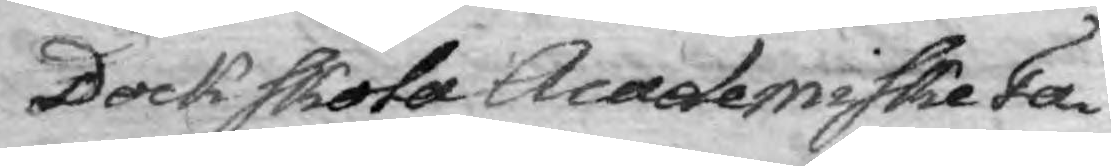Dock skoal Academiske Fa¬
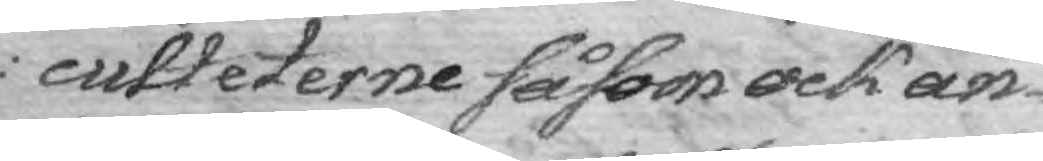culteterne såsom ock an¬
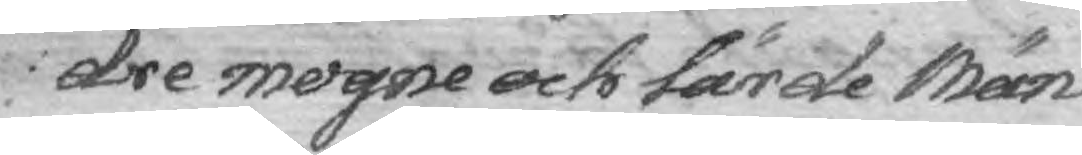dre mogne och lärde Män
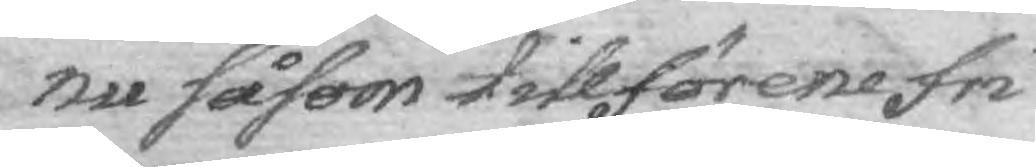nu såsom tillförene fri¬
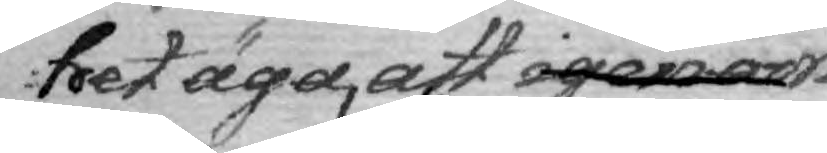het äga, att igenom
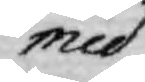med
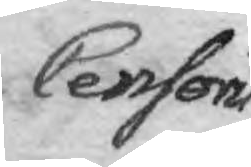Censori
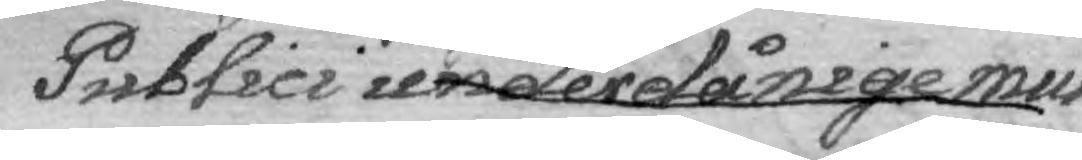Publici underdånige mun¬
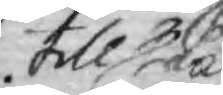tillstånd
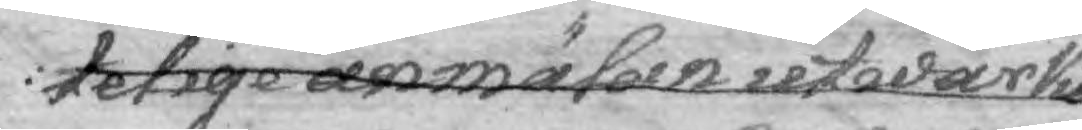telige anmälan utvärka
